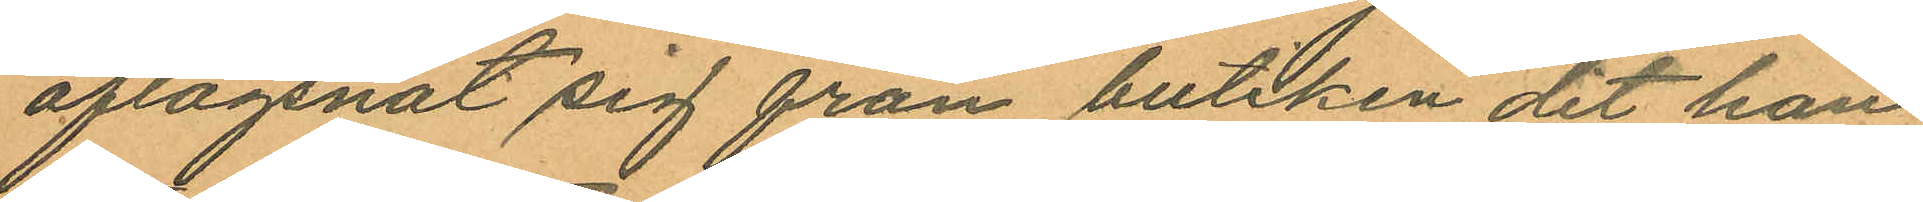aflägsnat sig från butiken dit han
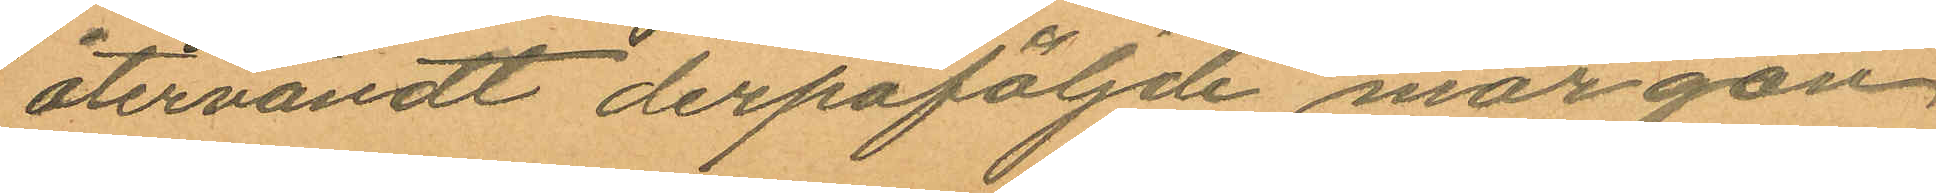återvändt derpåföljde morgon
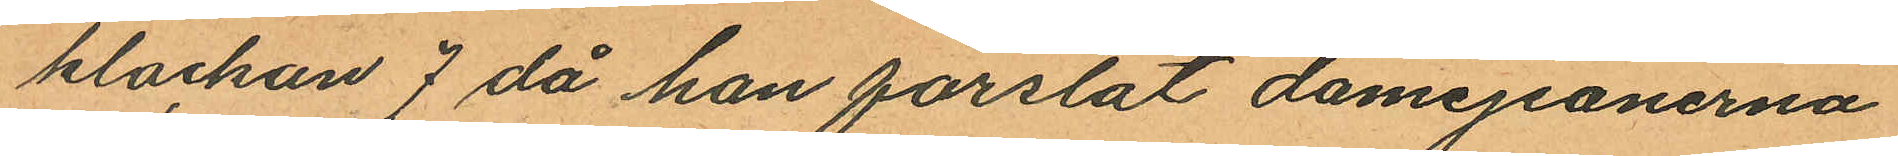klackan 7 då han forslat damejeanerna
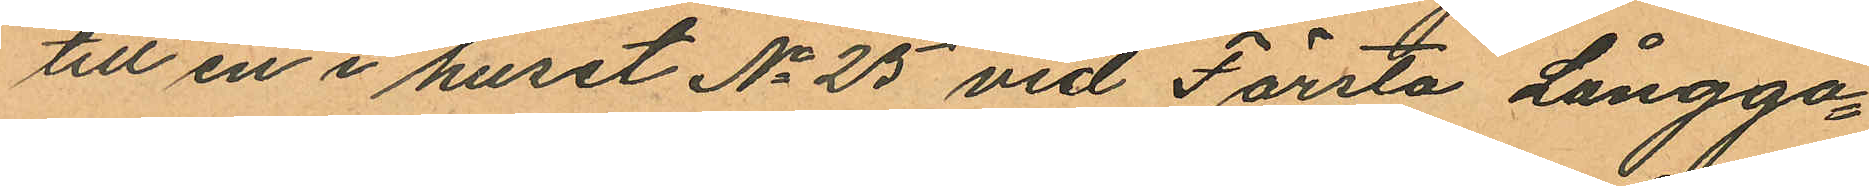till en i huset No 25 vid Första Långga¬
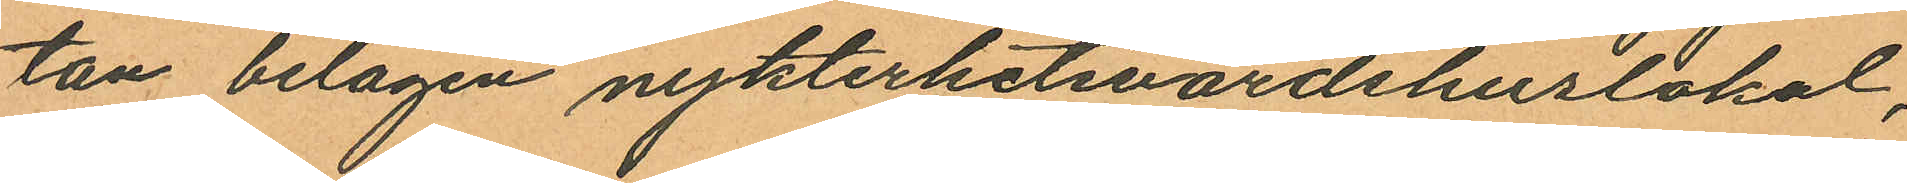tan belägen nykterhetsvärdshuslokal,
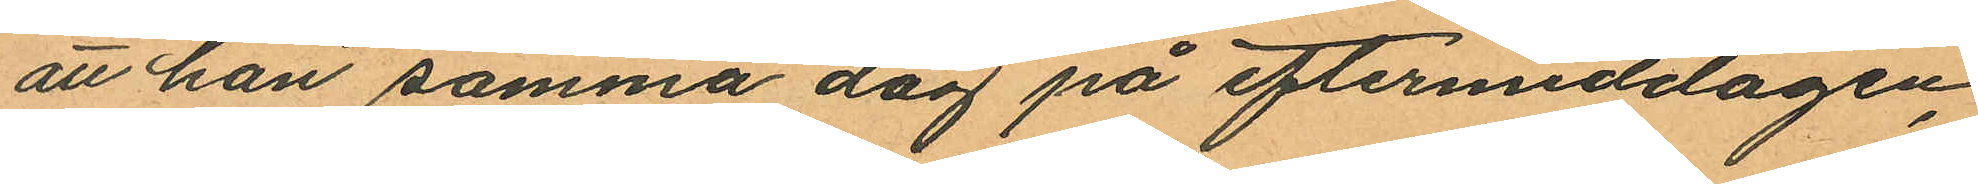att han samma dag på eftermiddagen,
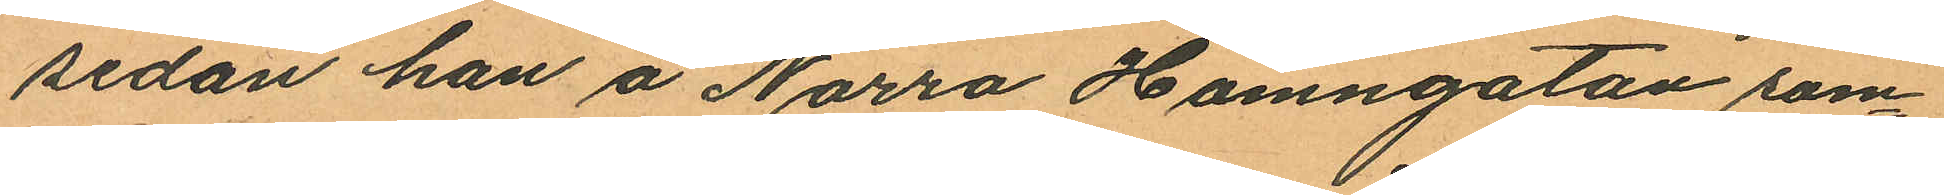sedan han å Norra Hamngatan sam¬
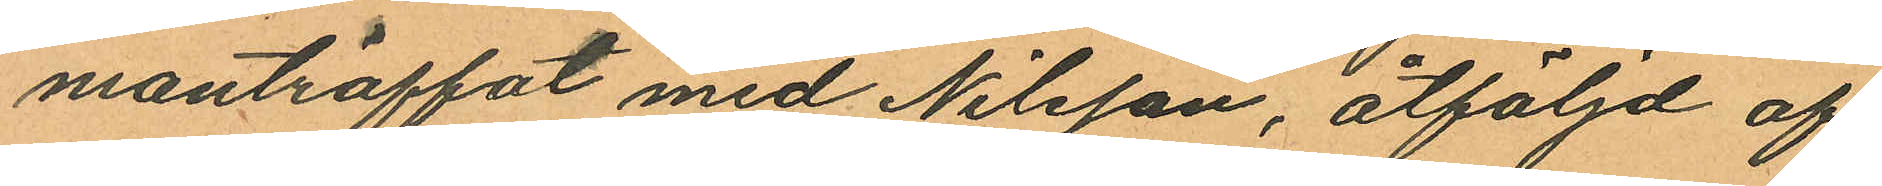manträffat med Nilsson, åtföljd af
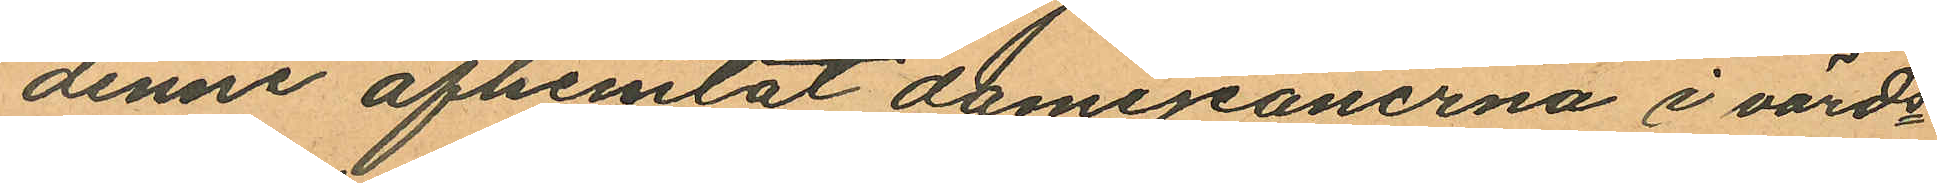denne afhemtat damejeanerna i värds¬
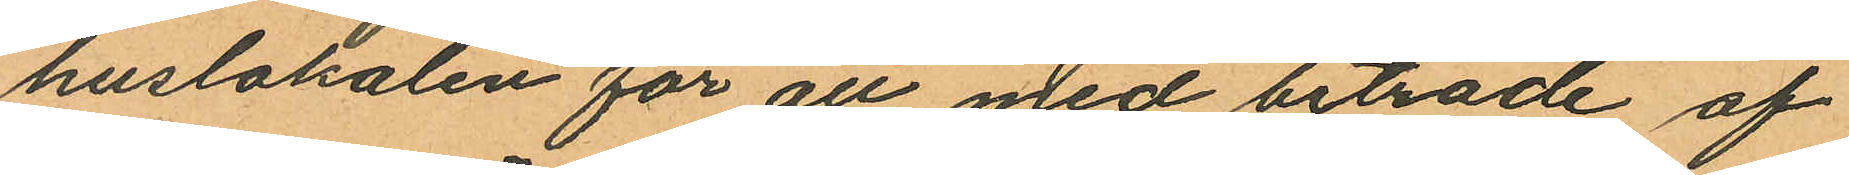huslokalen för att med biträde af
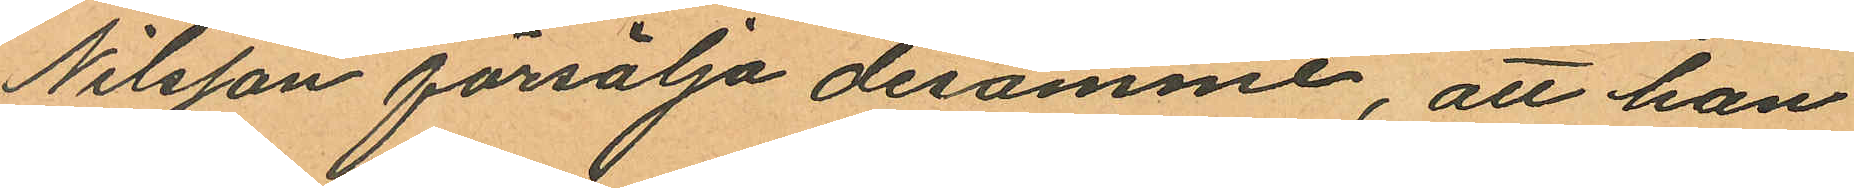Nilsson försälja desamme, att han
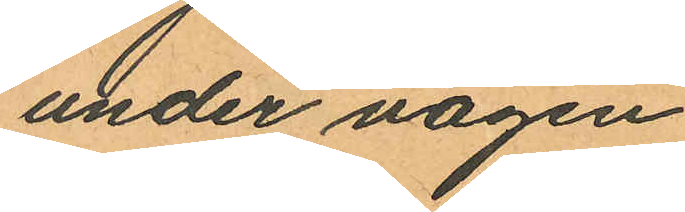under vägen
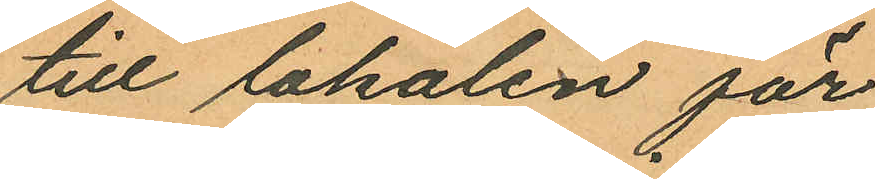till lokalen för
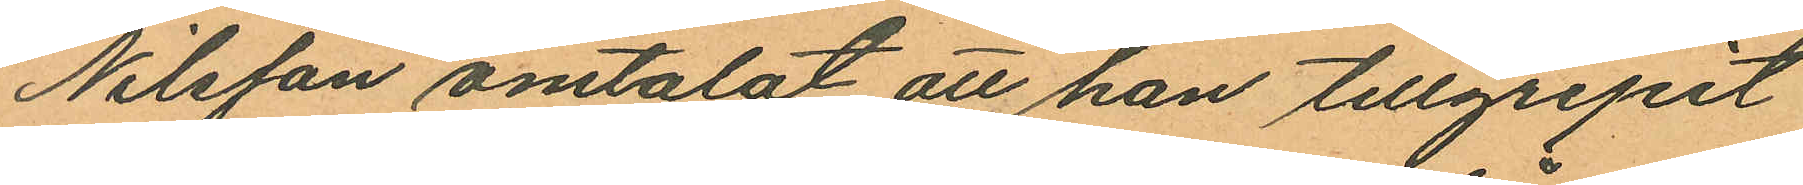Nilsson omtalat att han tillgripit
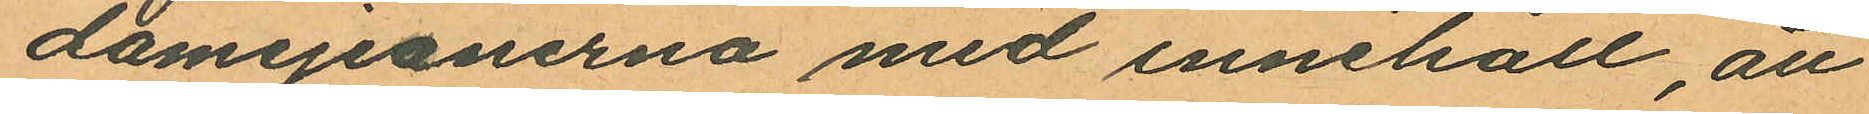damejeanerna med innehåll, att
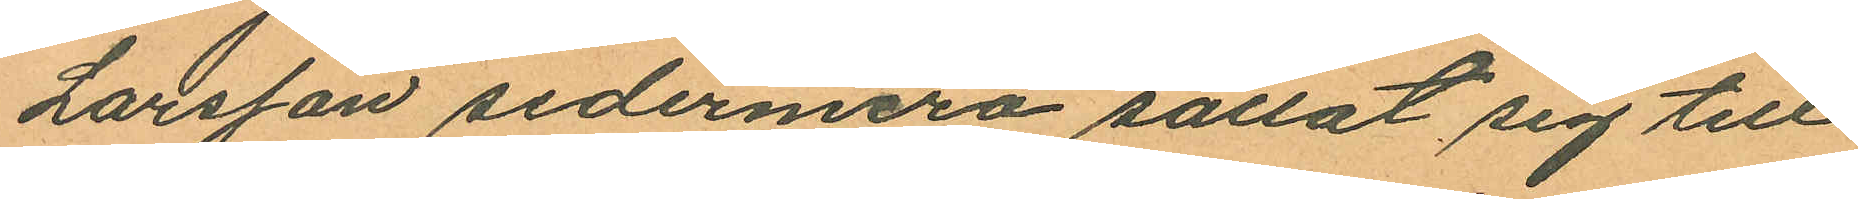Larsson sedermera sällat sig till
